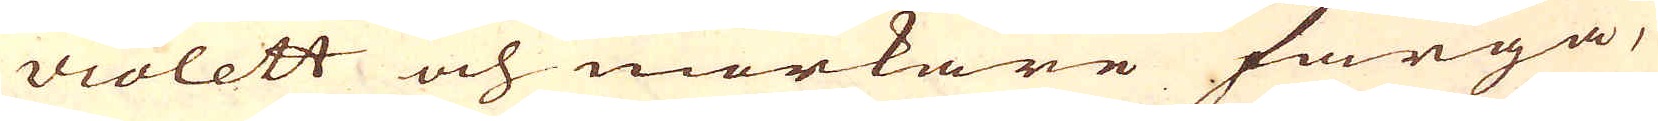violett och mörkare färga,
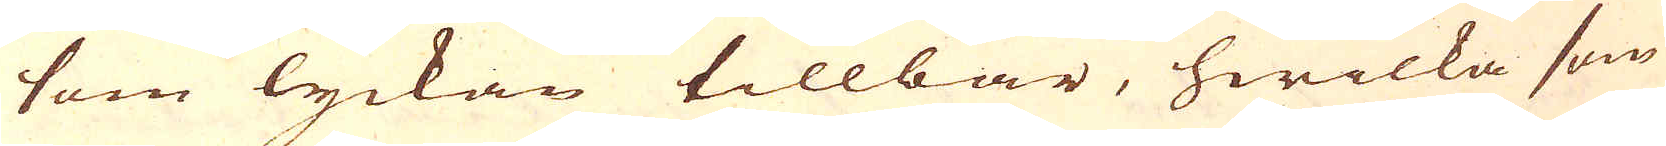som lyckan tillbär, hwilka som
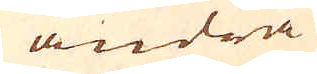andra
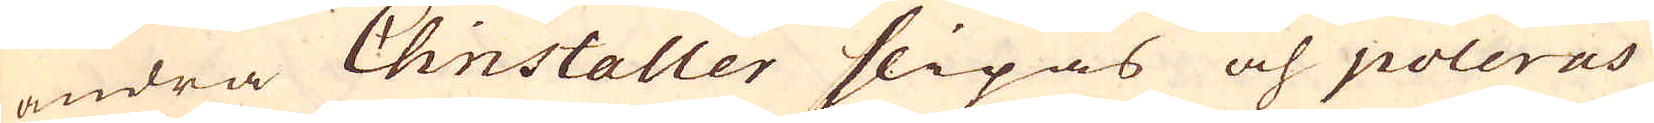andra Christaller slipas och poleras
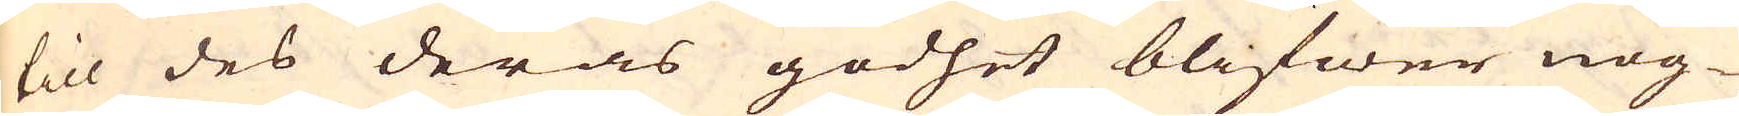till des deras godhet blifwer nog-
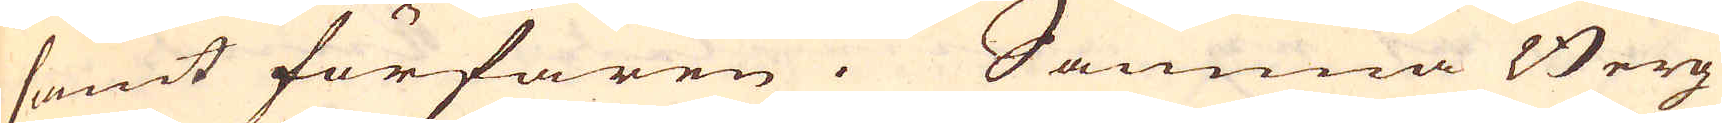samt förfaren. Samma Berg
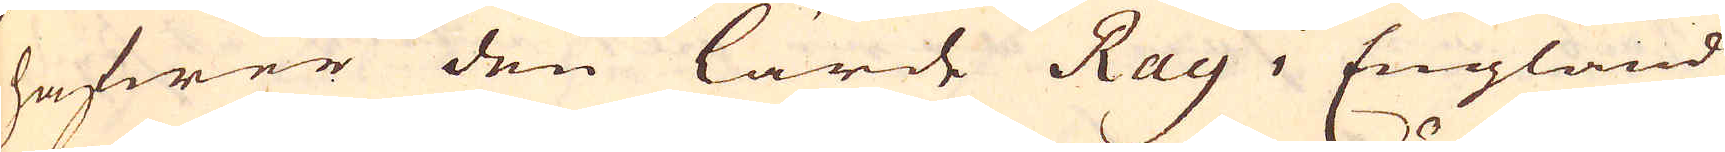hafwer den lärde Ray i England
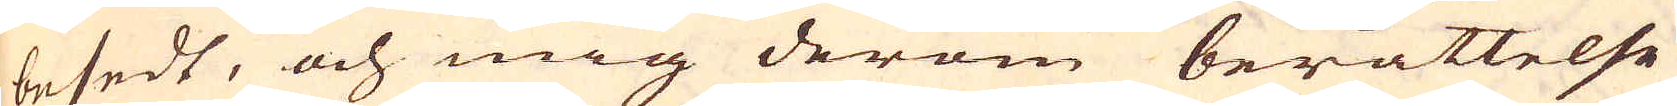besedt, och mig derom berättelse
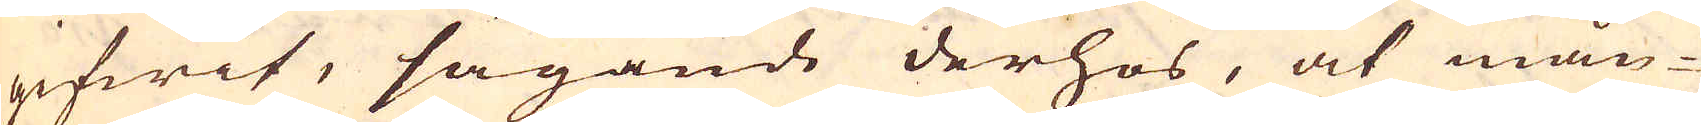gifwit, sägande derhos, at mån-
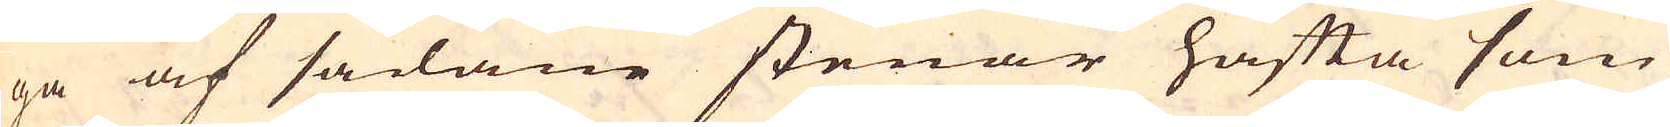ga af sådane stenar häfta som
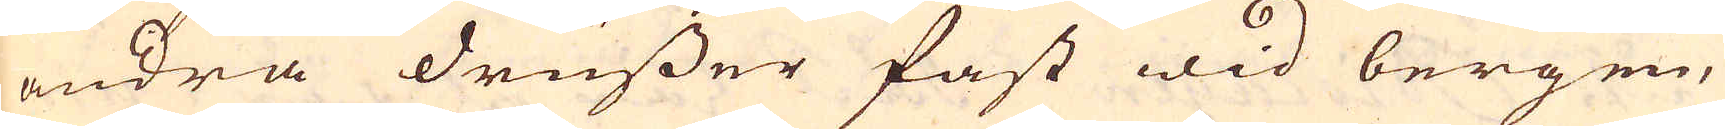andra drusser fast wid bergen,
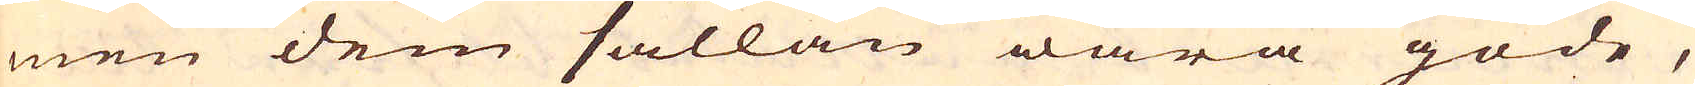men dem sällan wara gode,
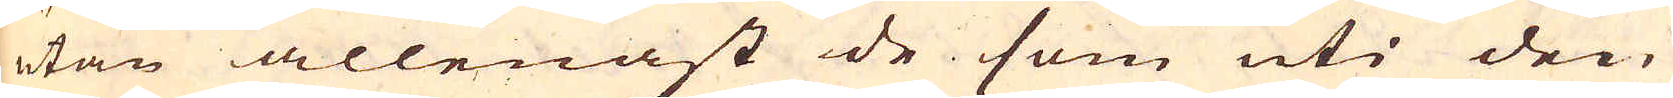utan allenast de som uti den
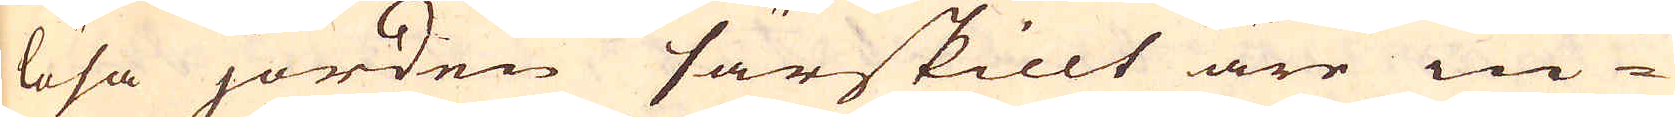lösa jorden särskillt äre in-
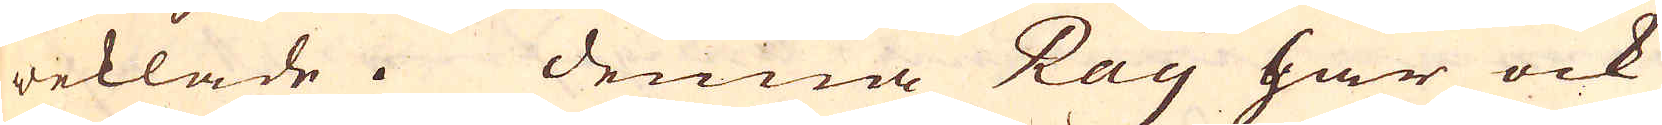weklade. Denna Ray har ock
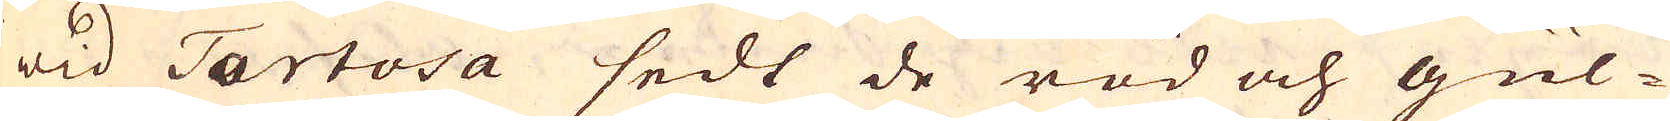wid Tartosa sedt de röd och gul-
